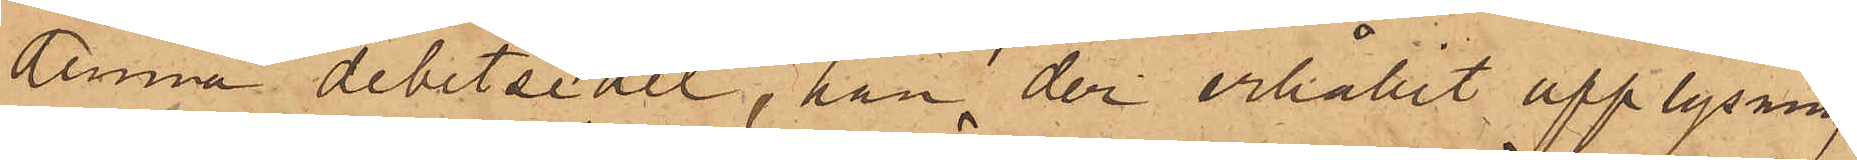denna debetsedel, han der erhållit upplysning
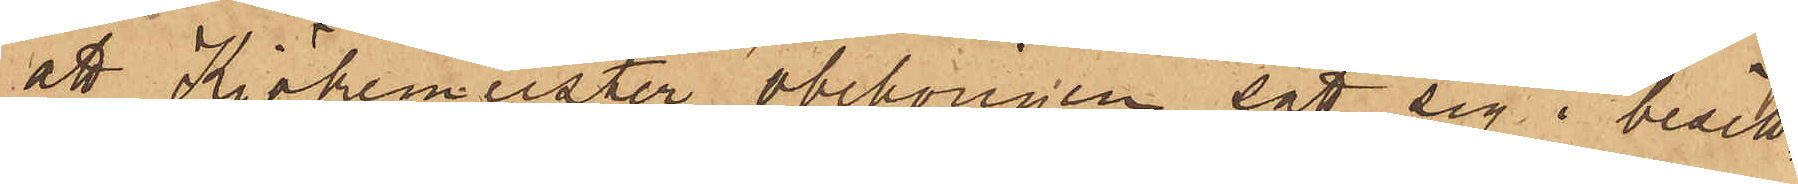att Kiökemeister obehörigen satt sig i besitt¬
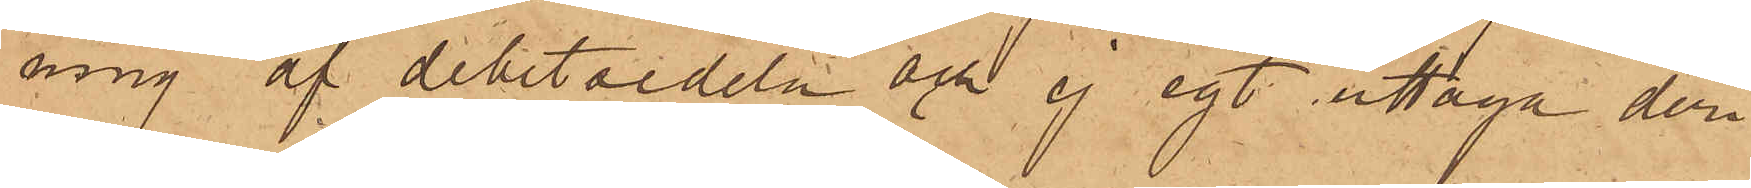ning af debetsedeln och ej egt uttaga deri
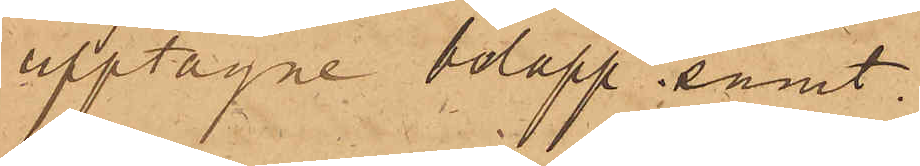upptagne belopp, samt
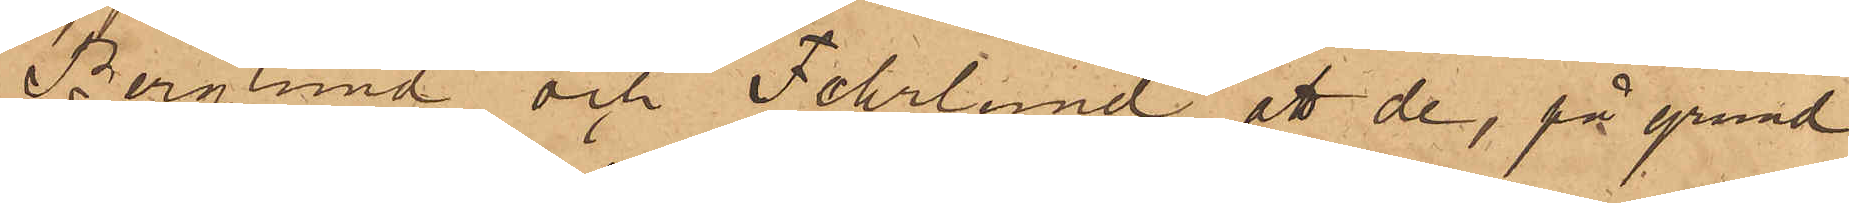Berglund och Fehrlund att de, på grund
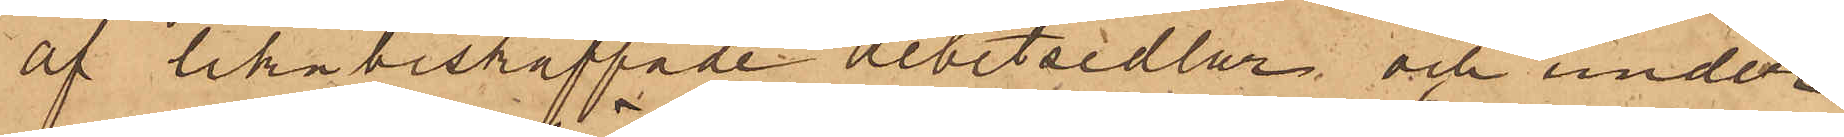af lika beskaffade arbetsedlar, och under
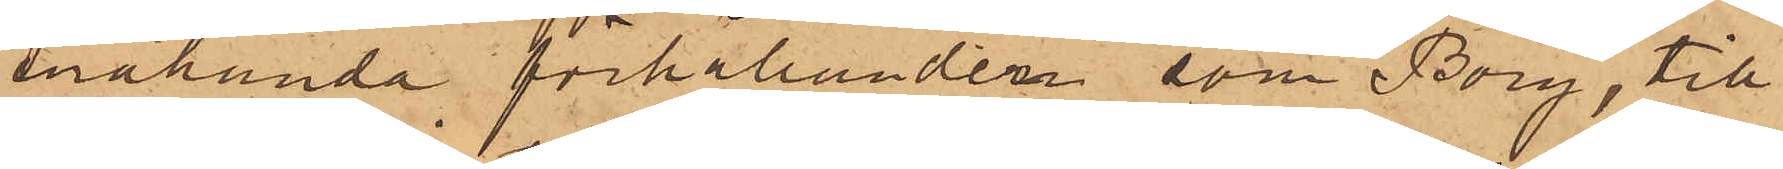enahanda förhållanden som Borg, till
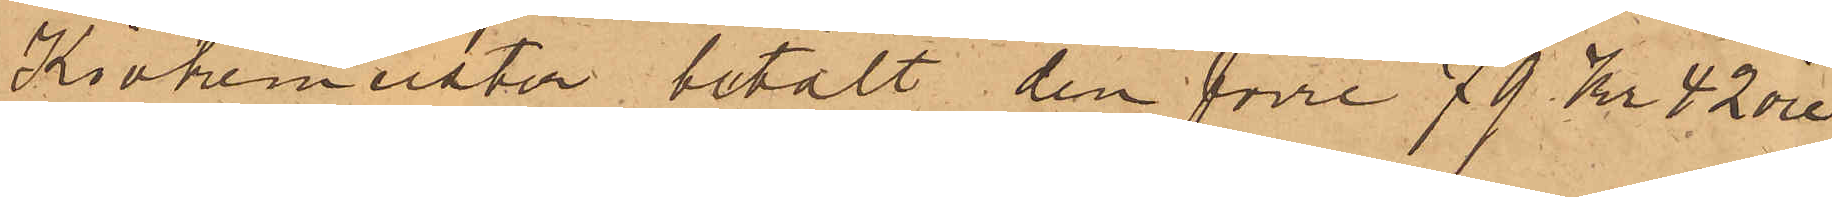Kiökemeister betalt den förre 79 Kr 42 öre
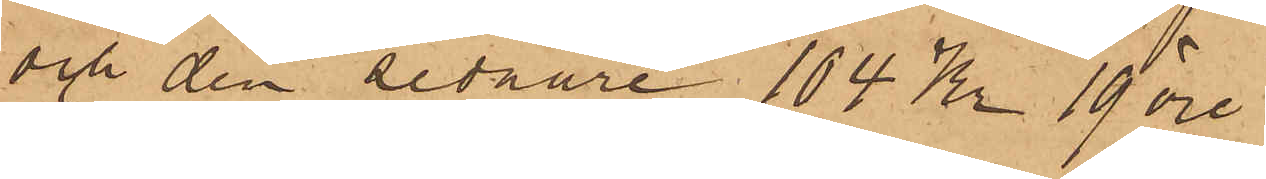och den sednare 104 Kr 19 öre.
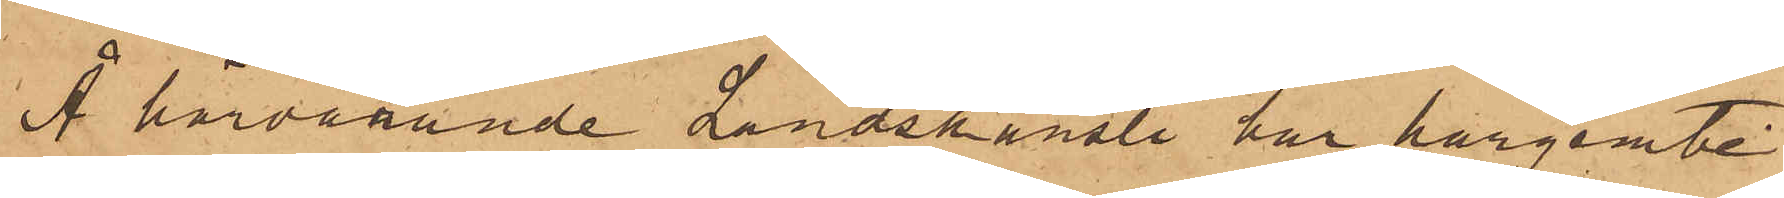Å härvarande Landskansli har härjemte
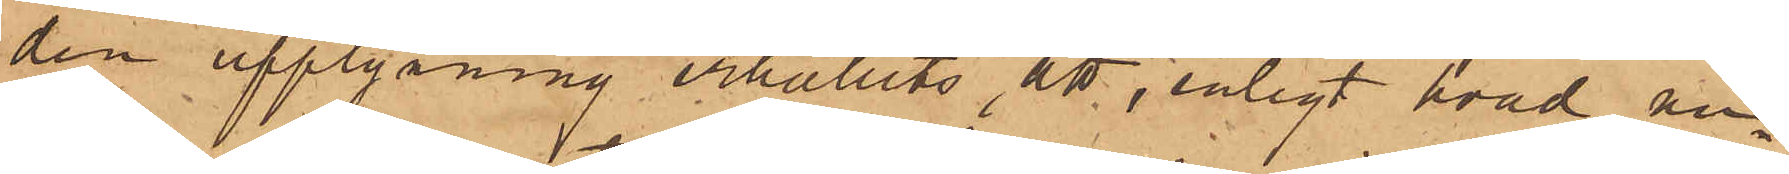den upplysning erhållits att, enligt hvad än
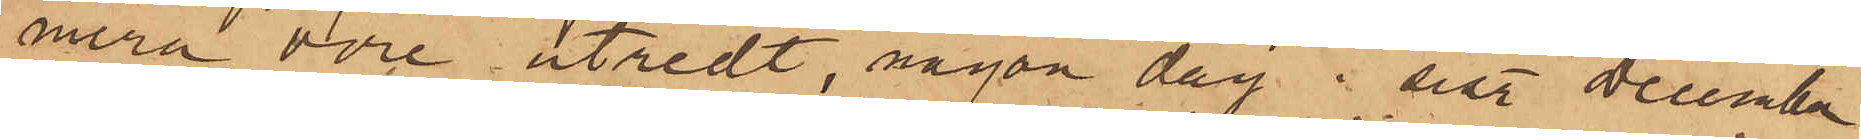mera vore utredt, någon dag i sist. December
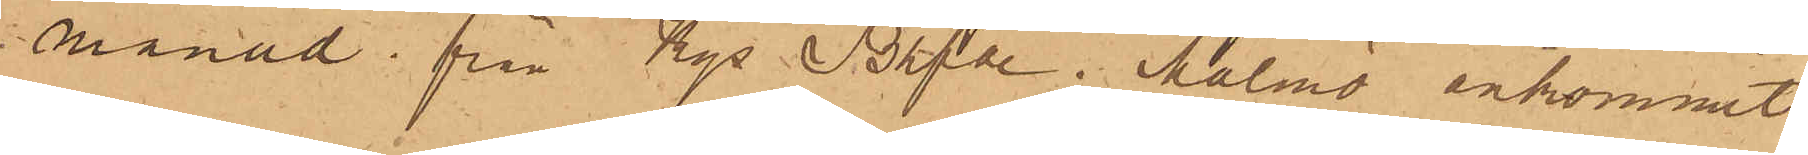månad från Kgl Bhfde i Malmö ankommit
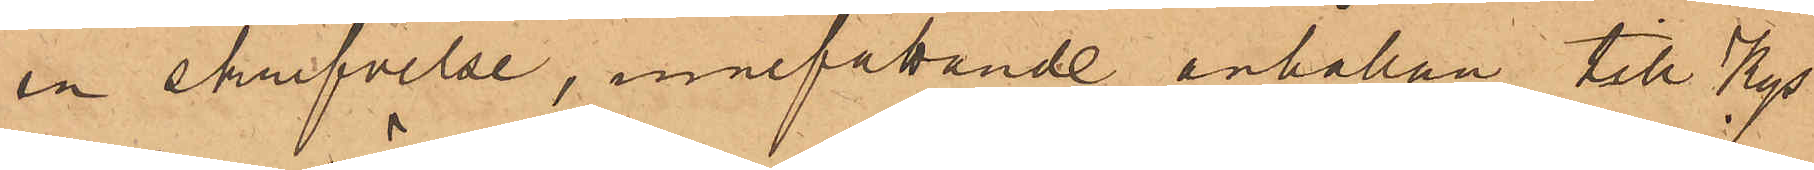en skrifvelse, innefattande anhållan till Kgs
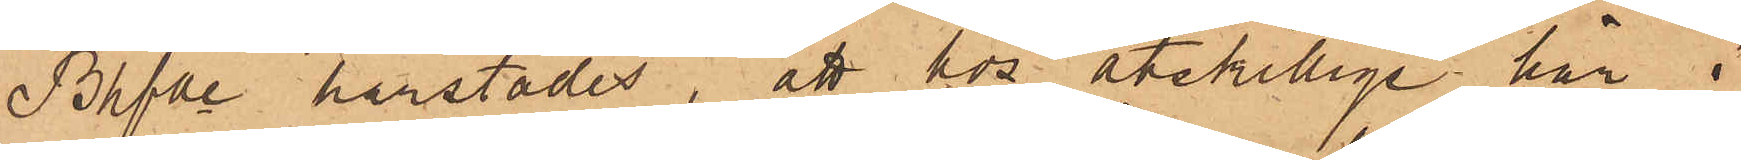Bhfde härstädes, att hos åtskillige här i
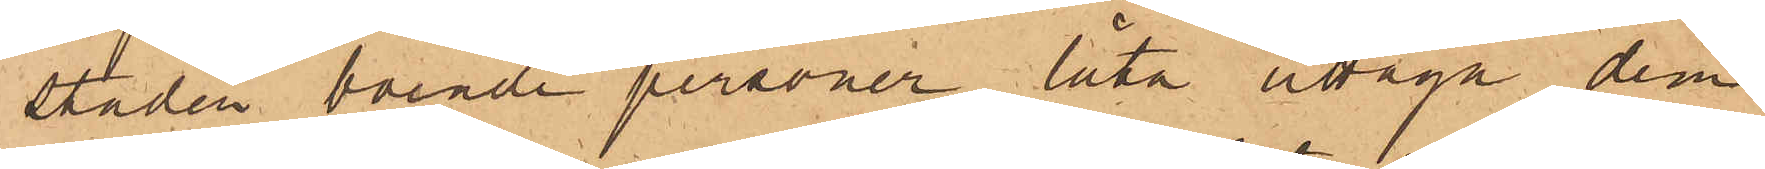staden, boende personer låta uttaga dem
